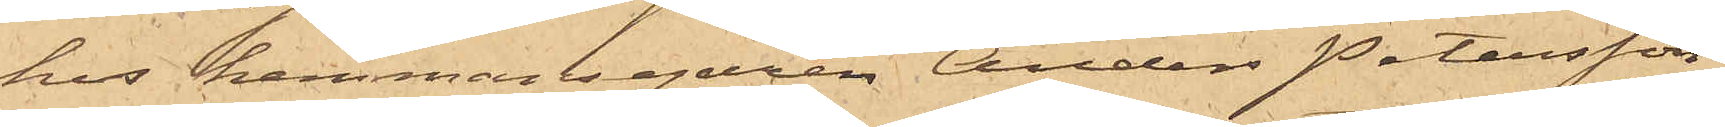hos hemmansegaren Anders Petersson
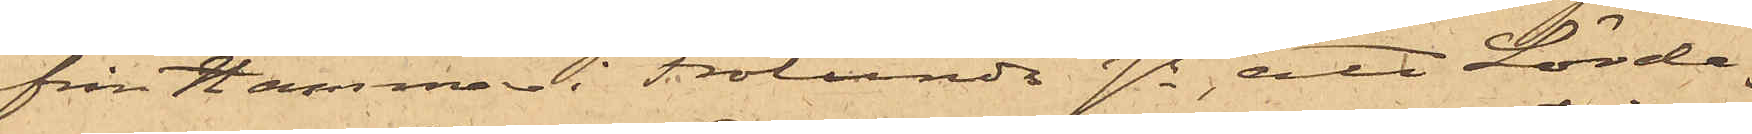från Hammar i Frölunda sn, att Lörda¬
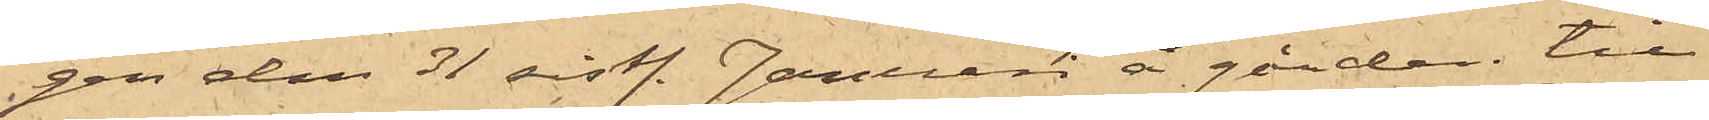gen den 31 sistl. Januari å gården till
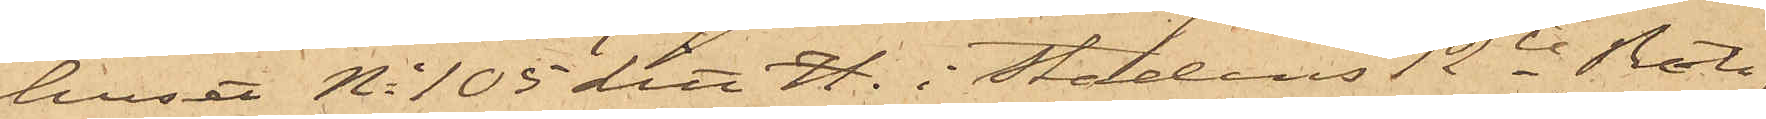huset No 105 Litt H. i Stadens 12te Rote,
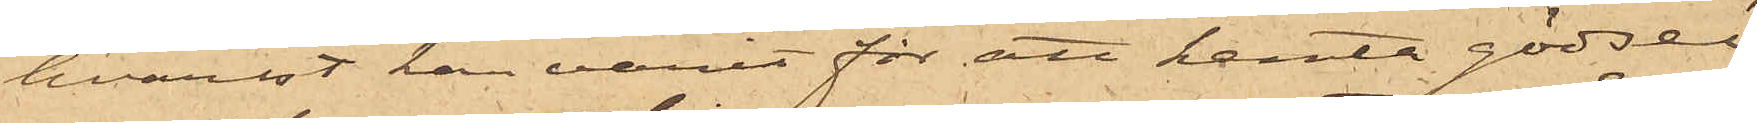hvarest han varit för att hemta gödsel
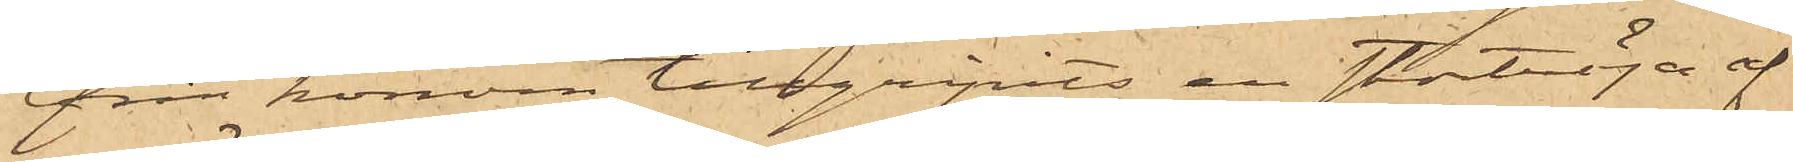från honom tillgripits en stortröja af
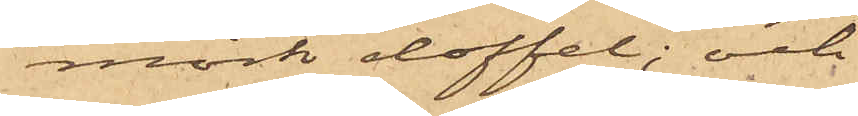mörk doffel; och
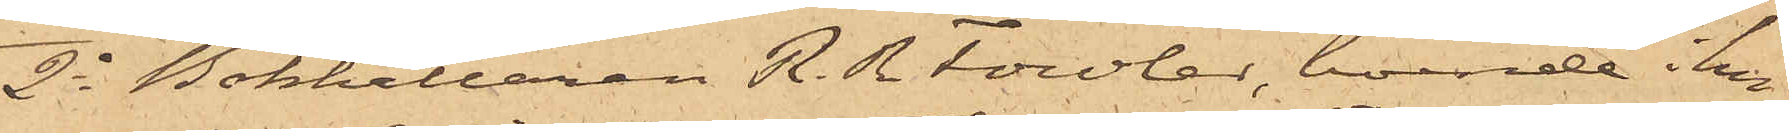2o Bokhållaren R. R Fowler, boende i hu¬
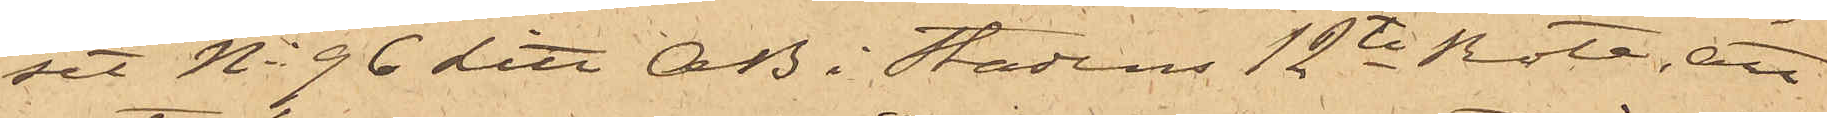set No 96 Litt AB i Stadens 12te Rote, att
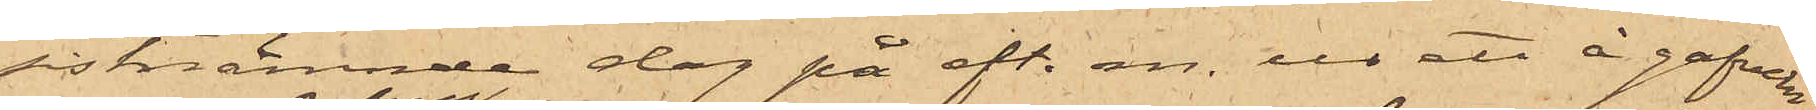sistnämnde dag på eft. m. ur ett å gafveln
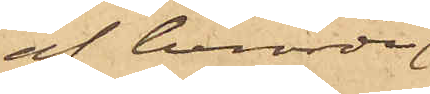af berörde
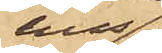hus
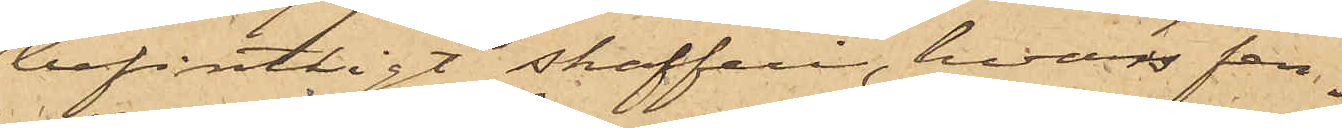befintligt skafferi, hvars fen¬
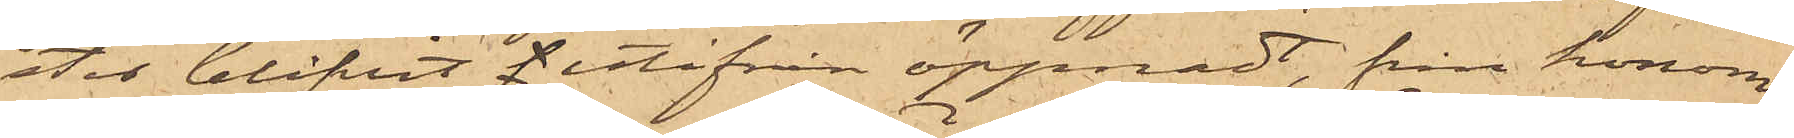ster blifvit f utifrån öppnadt, från honom
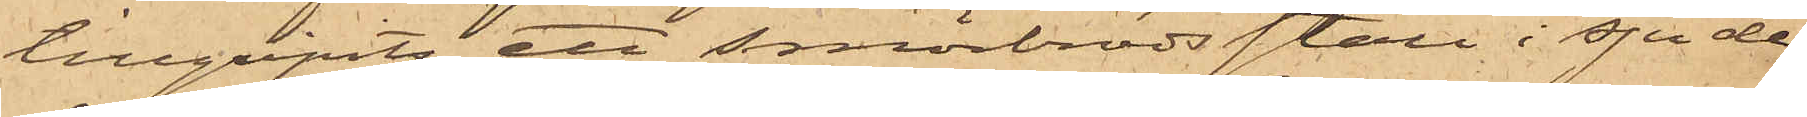tillgripits ett smörbrödsställ i sju de¬
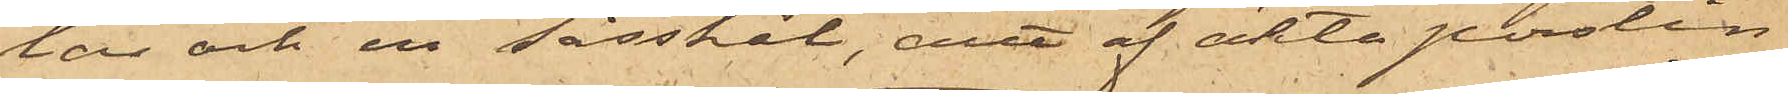las och en såsskål, allt af äkta porslin
